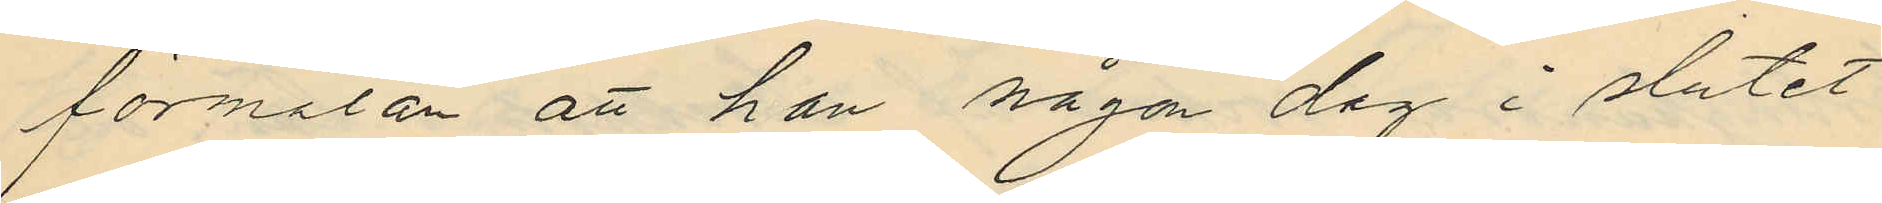förmälan att han någon dag i slutet
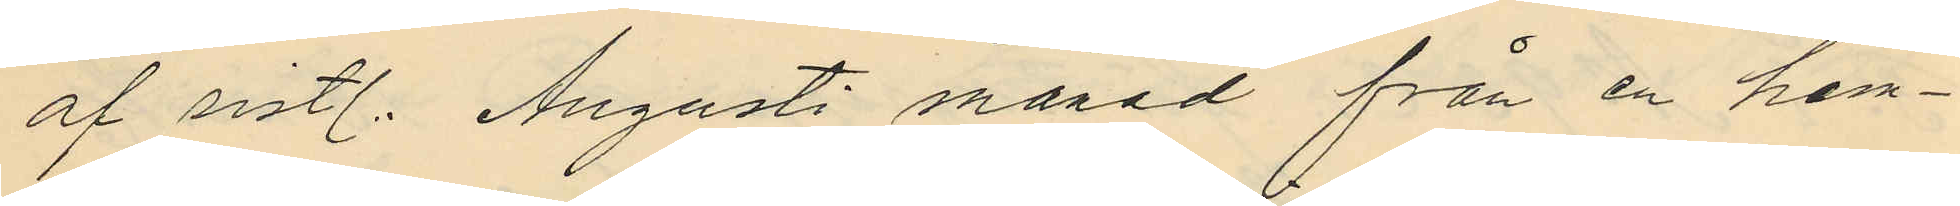af sistl. Augusti månad från en hem¬
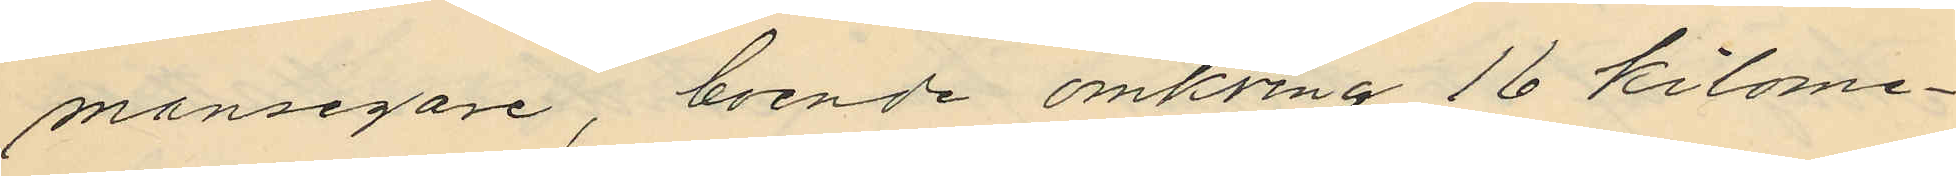mansegare, boende omkring 16 Kilome¬
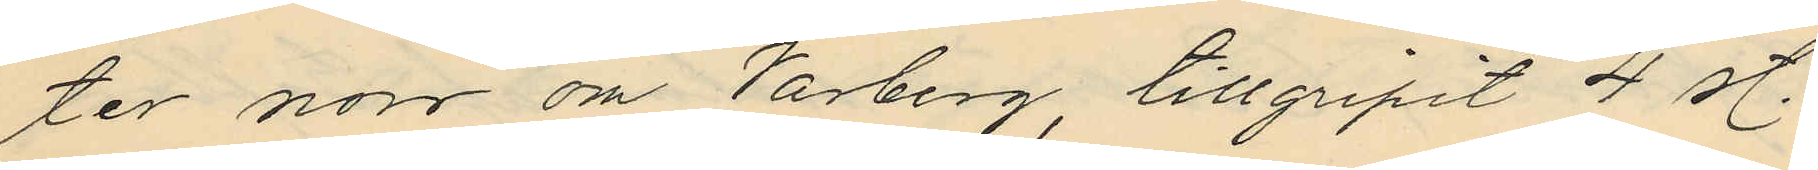ter norr om Varberg, tillgripit 4 st.
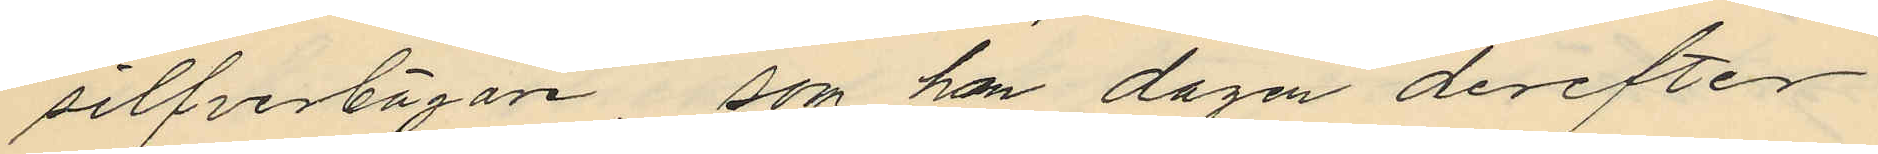silfverbägare som han dagen derefter
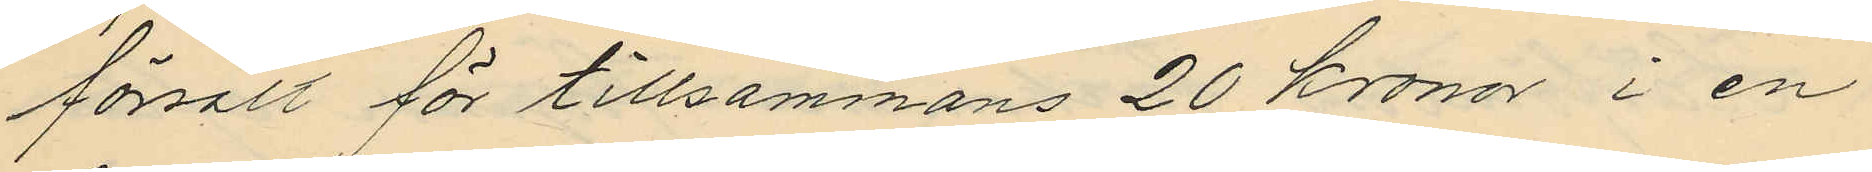försålt för tillsammans 20 kronor i en
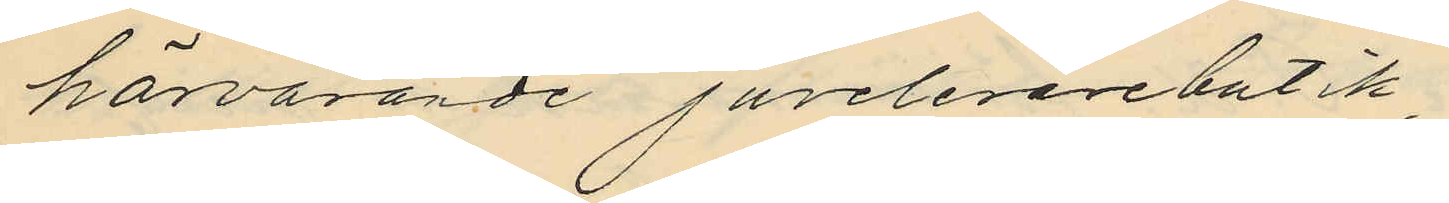härvarande juvelerarebutik
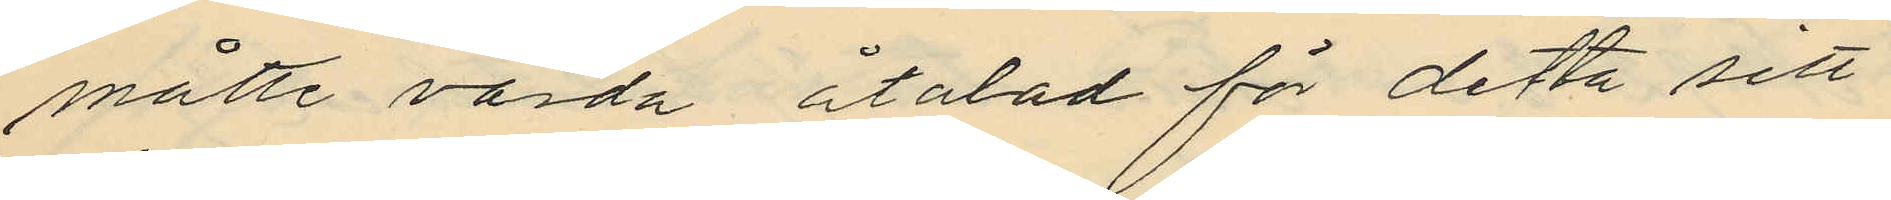måtte varda åtalad för detta sitt
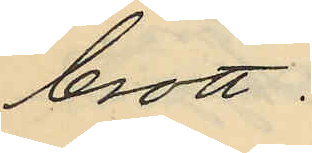brott.
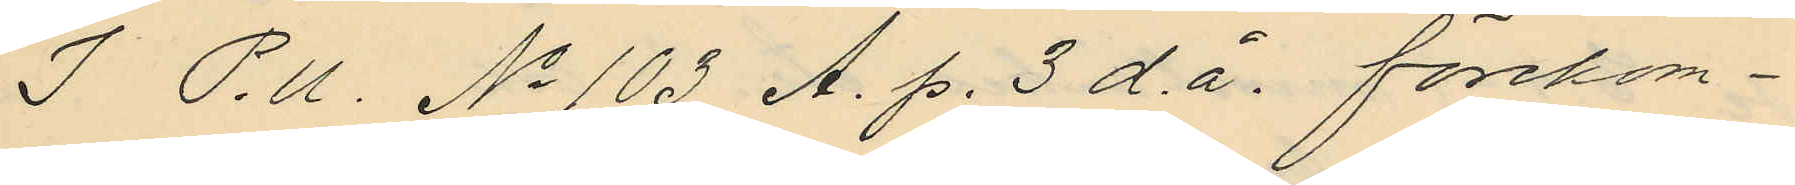I P.U. No 103 A. p. 3 d.å. förekom¬
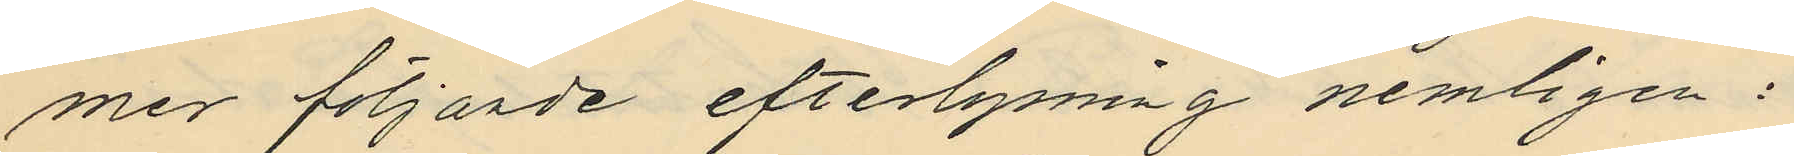mer följande efterlysning nemligen:
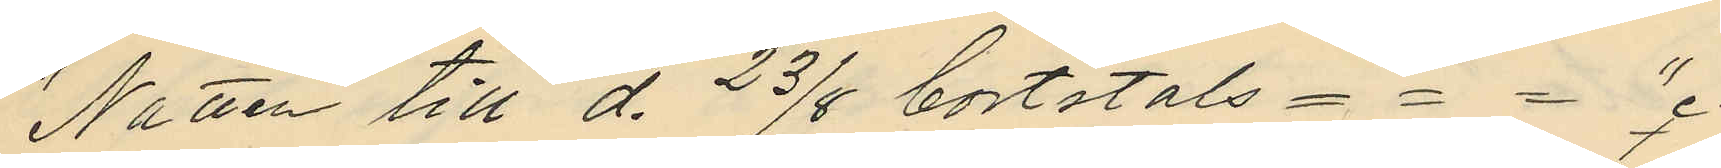"Natten till d. 23/8 bortstals - - - "
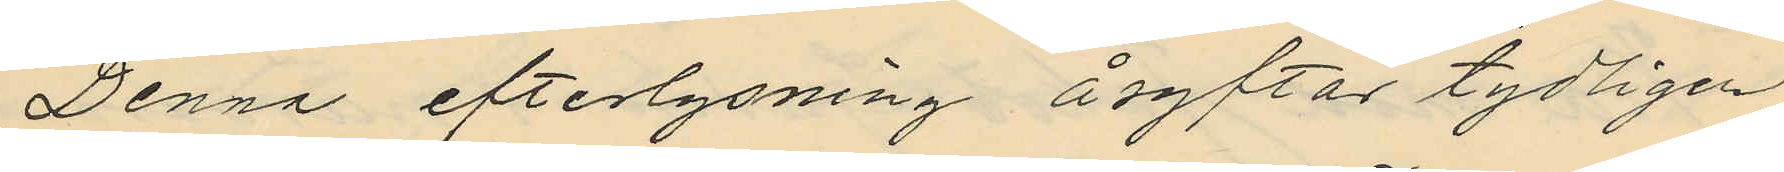Denna efterlysning åsyftar tydligen
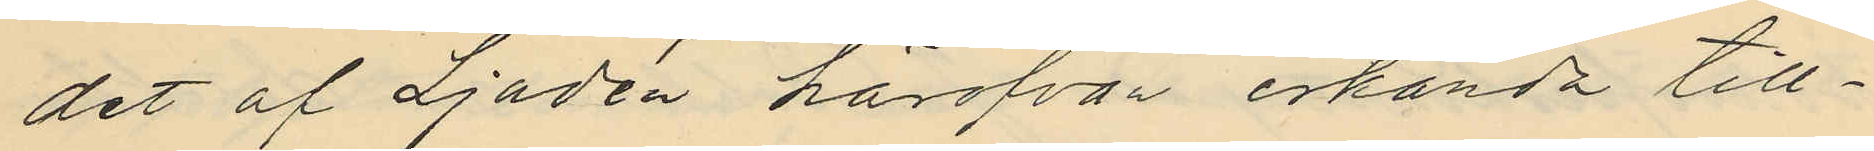det af Ljudén härofvan erkända till¬
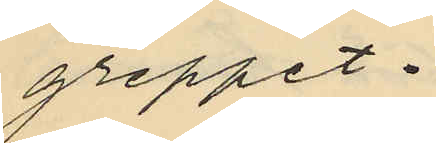greppet.
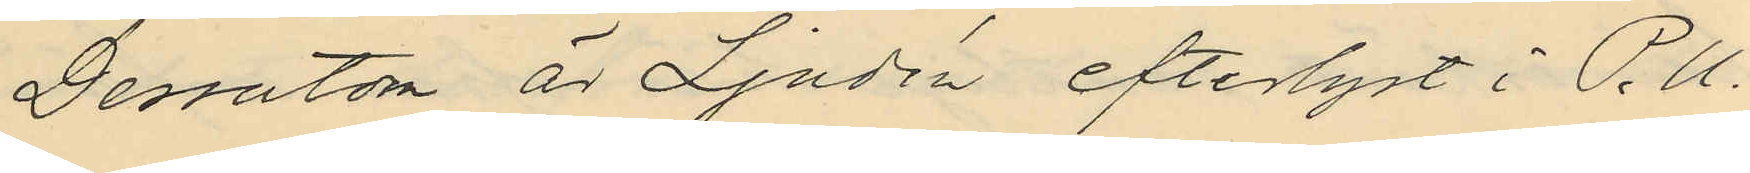Dessutom är Ljudén efterlyst i P.U.
